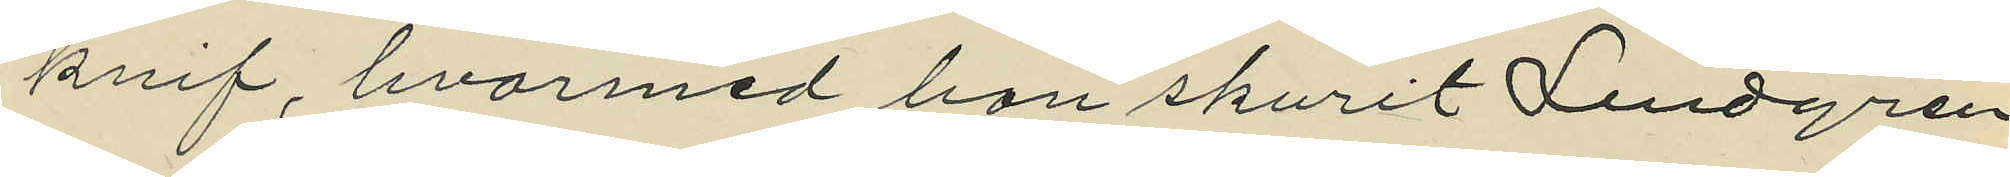knif, hvarmed han skurit Lindgren
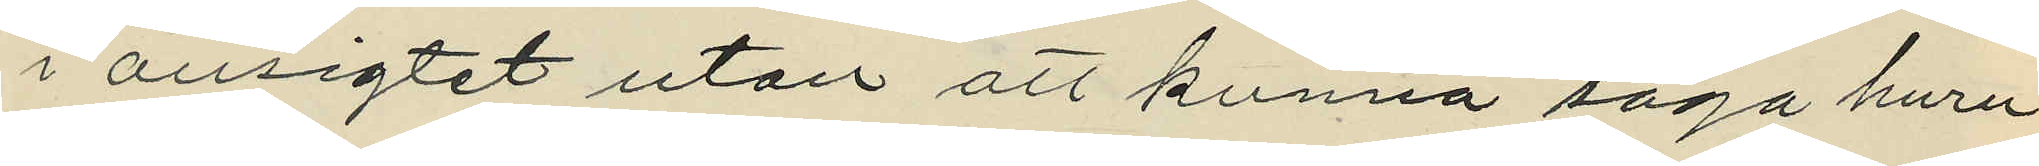i ansigtet utan att kunna säga huru
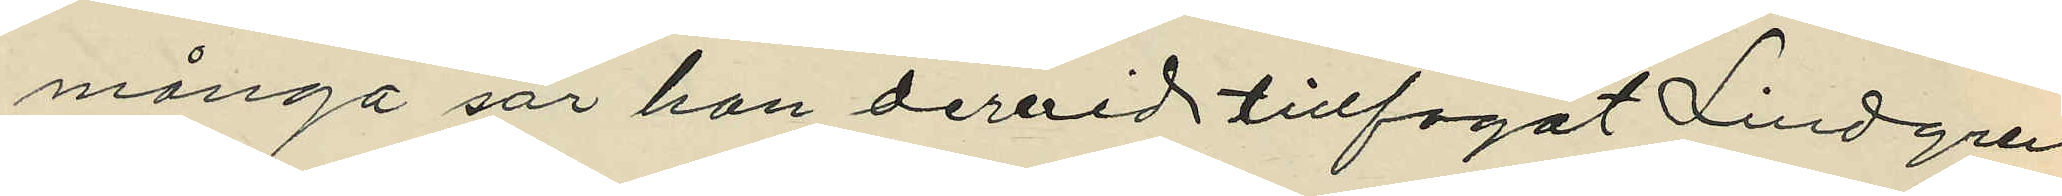många sår han dervid tillfogat Lindgren
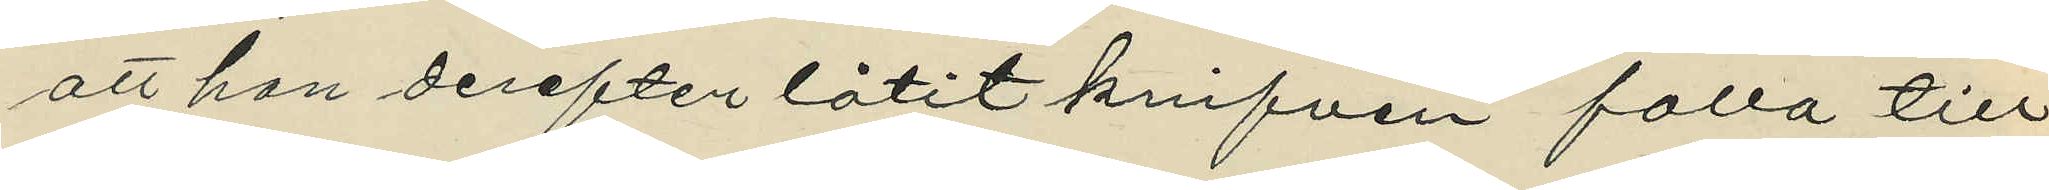att han derefter låtit knifven falla till
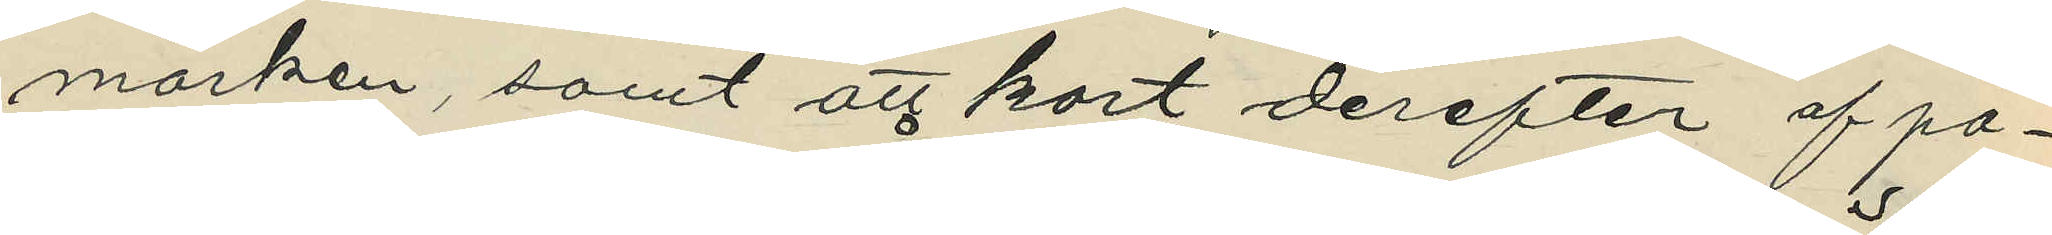marken, samt att kort derefter af po¬
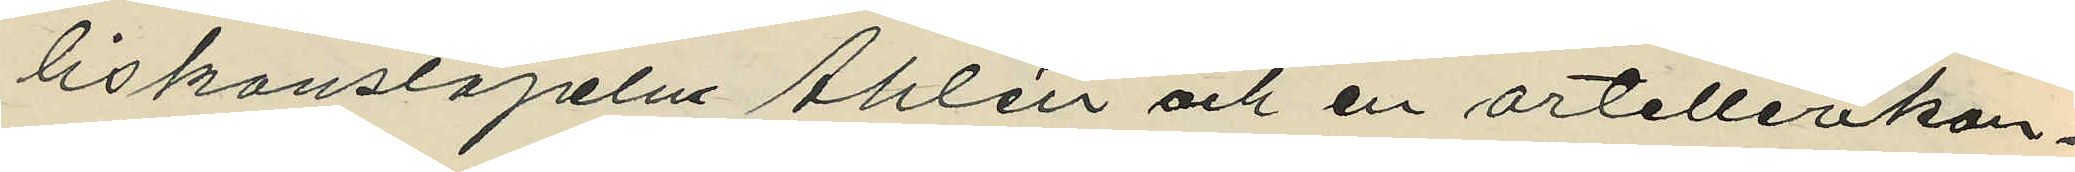liskonstapeln Åhlén och en artellerikon¬
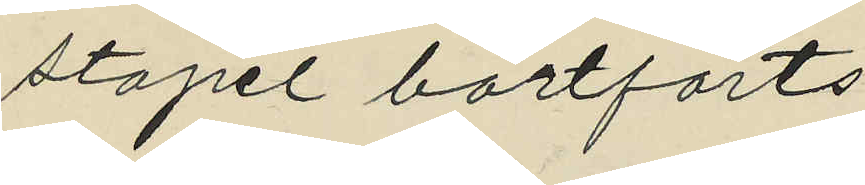stapel bortförts.
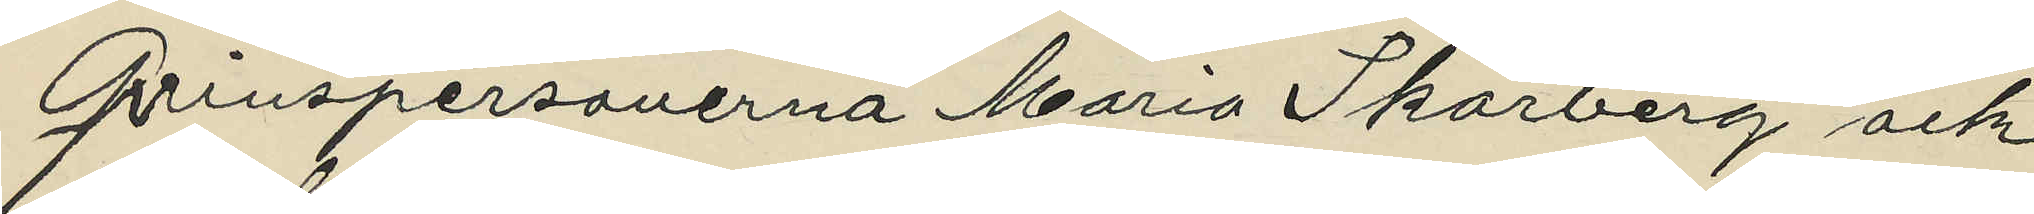Qvinspersonerna Maria Skärberg och
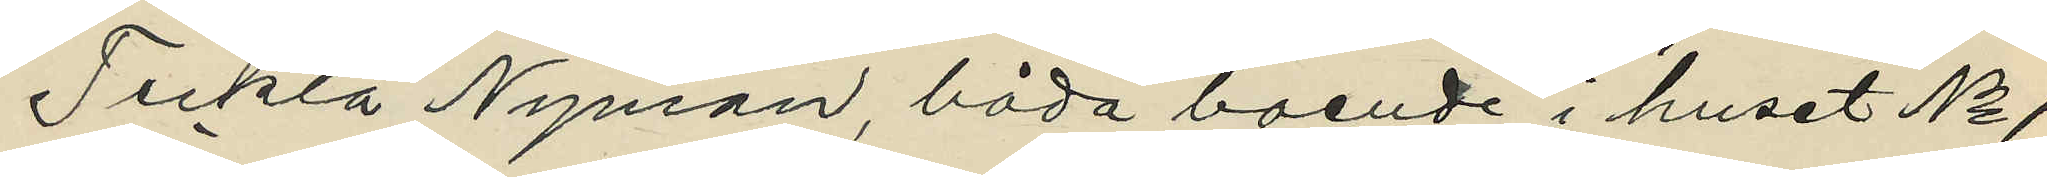Teckla Nyman, båda boende i huset No 1
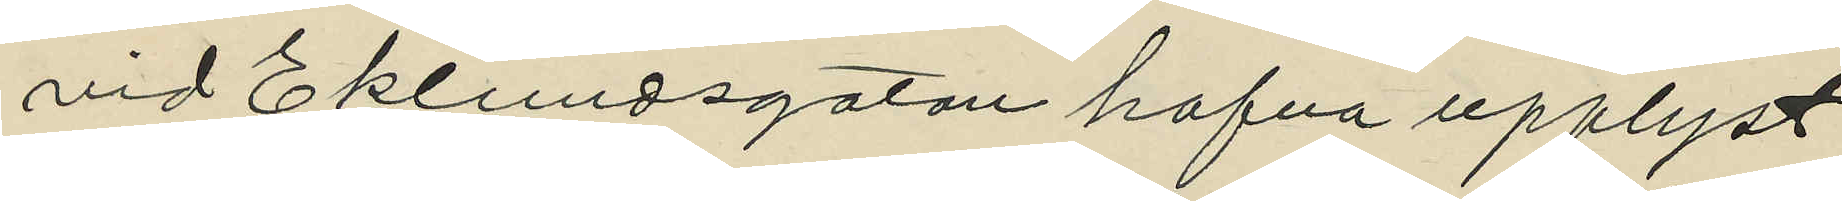vid Eklundsgatan hafva upplyst.
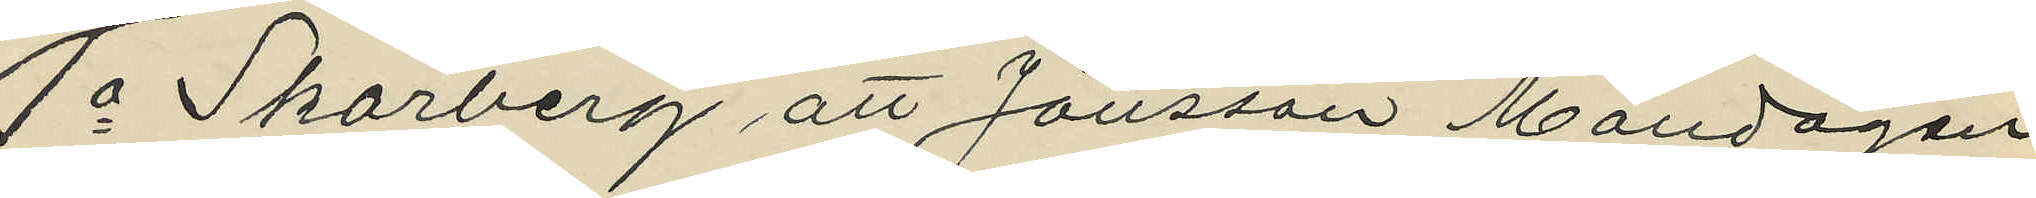1o Skärberg att Jönsson Måndagen
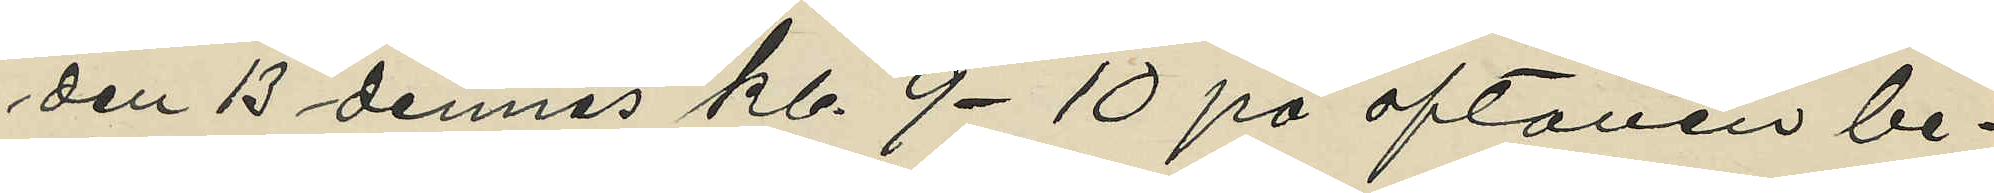den 13 dennes kl. 9-10 på aftonen be¬
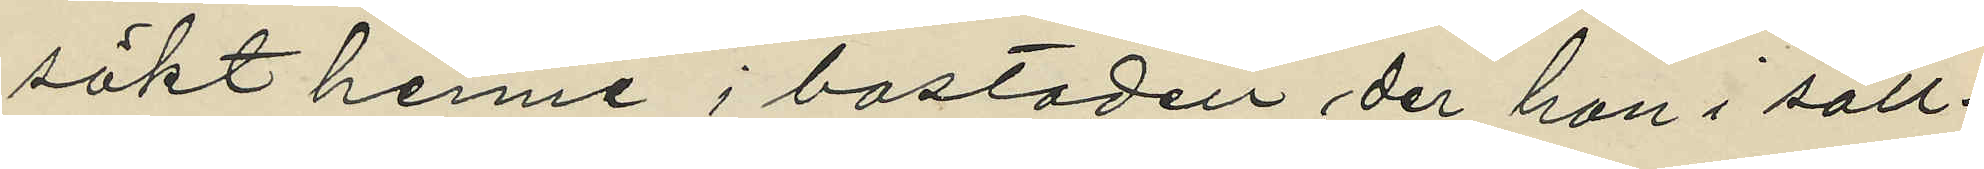sökt henne i bostaden der han i säll¬
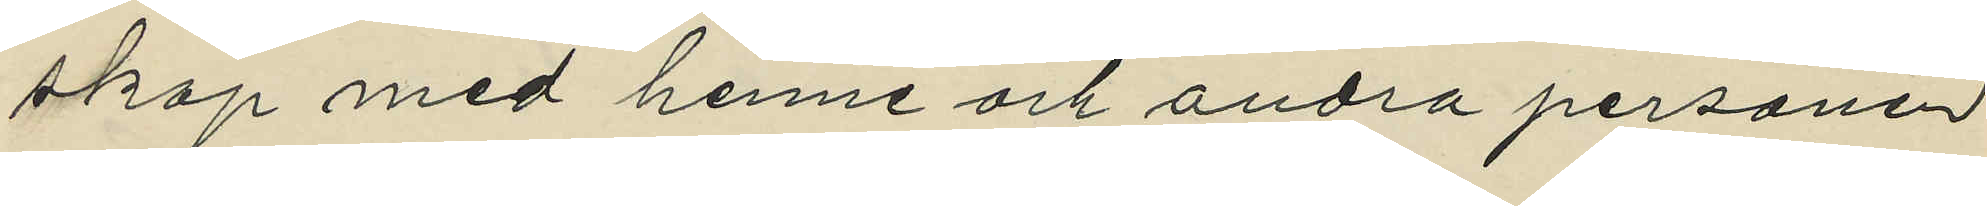skap med henne och andra personer
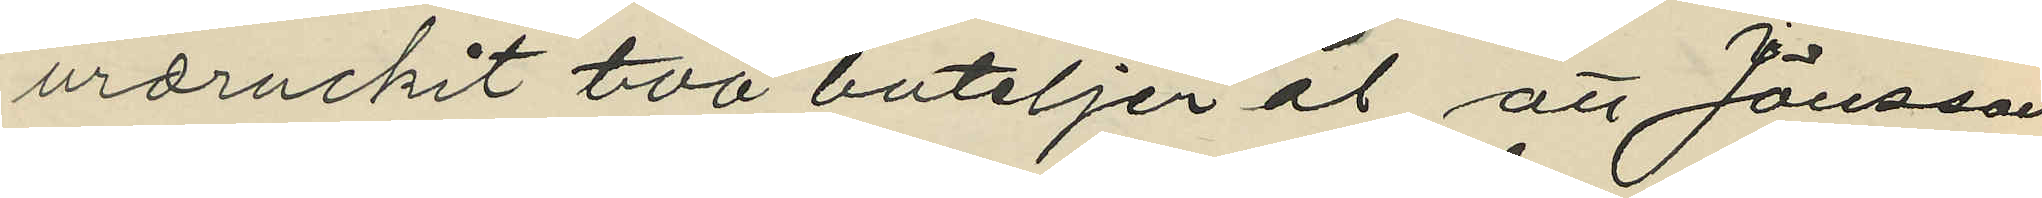urdruckit två buteljer öl att Jönsson
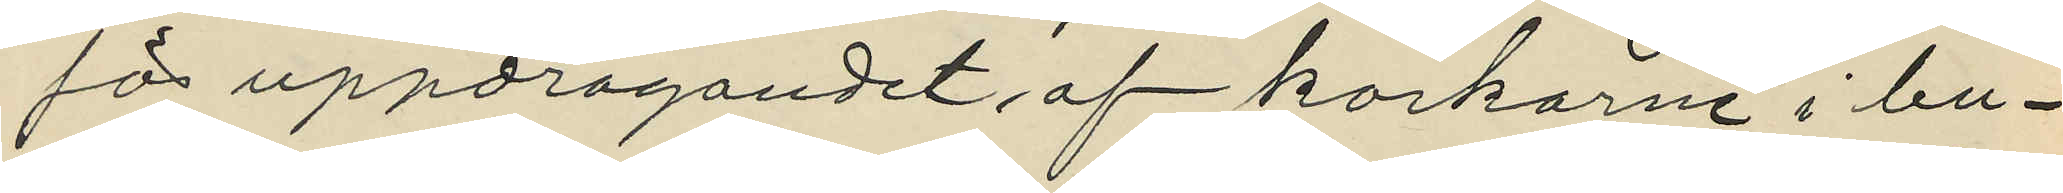för uppdragandet af korkarne i bu¬
